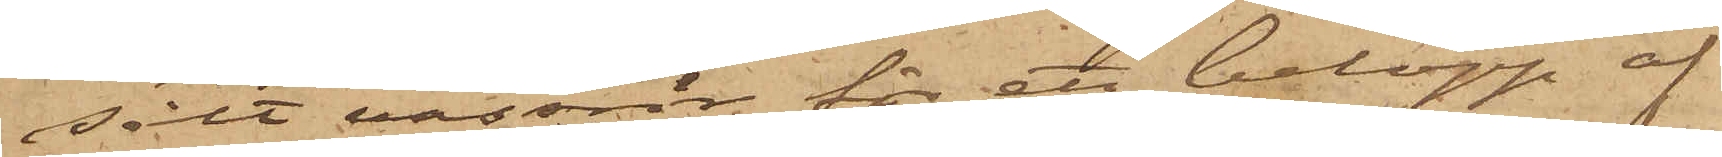sålt vassrör för ett belopp af
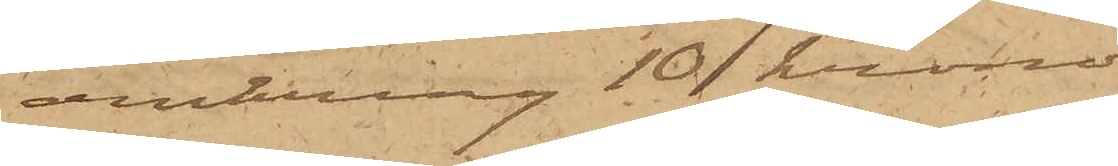omkring 10 kronor.
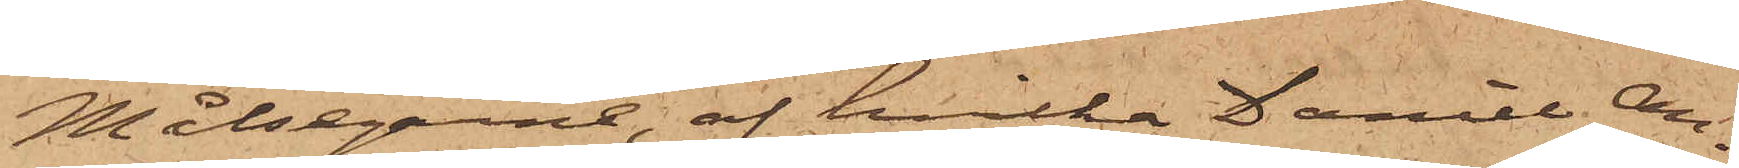Målsegarne, af hvilka Daniel An¬
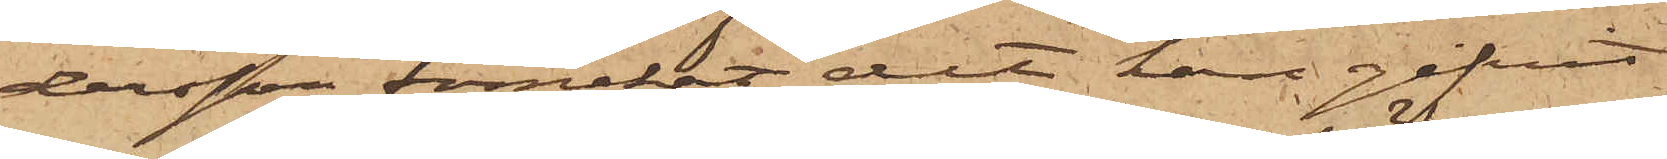dersson förnekat det han gifvit
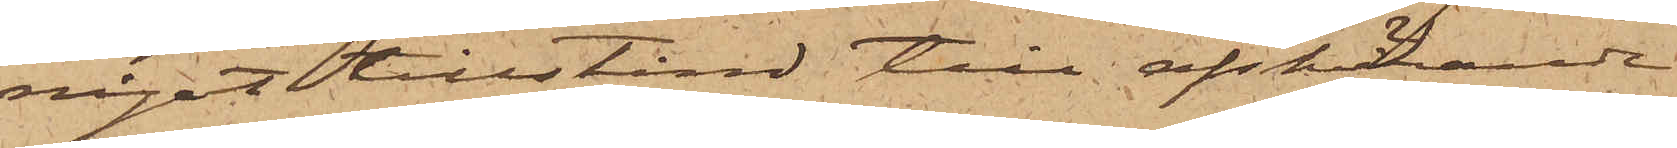något tillstånd till afskärande
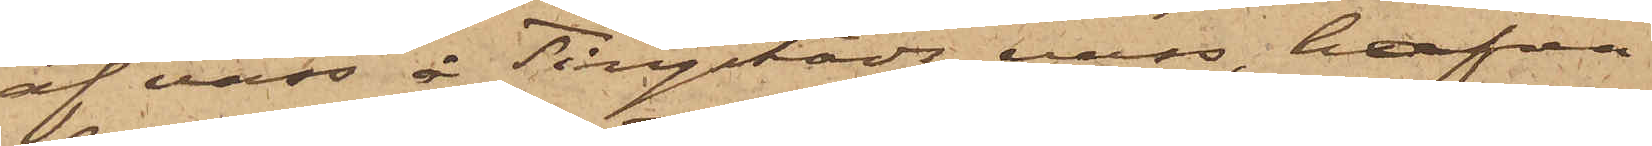af vass å Tingstads vass, hafva
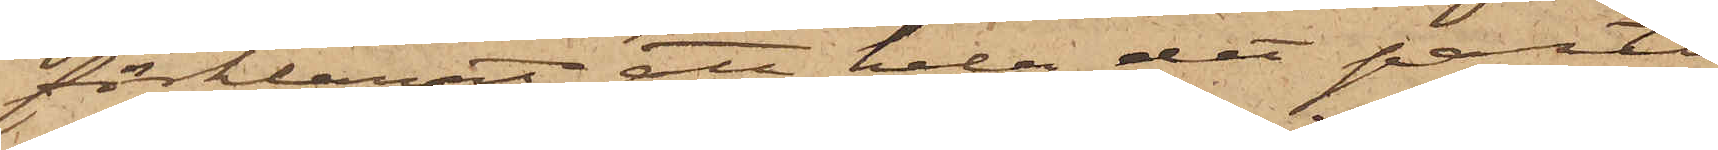förklarat att hela det parti
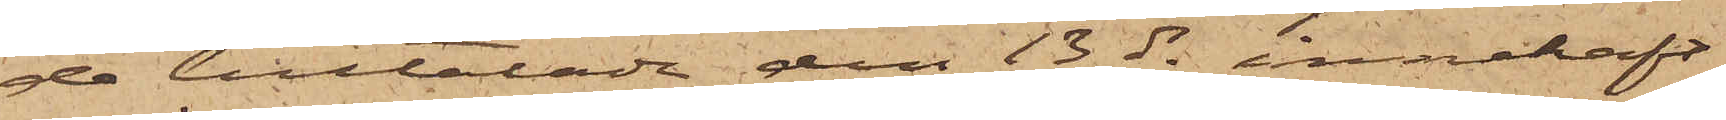de tilltalade den 13 ds innehaft,
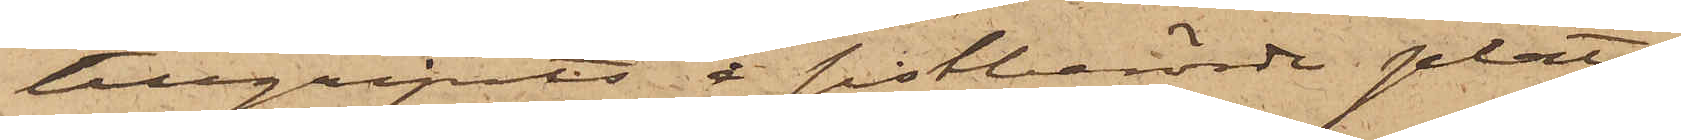tillgripits å sistberörde plats.
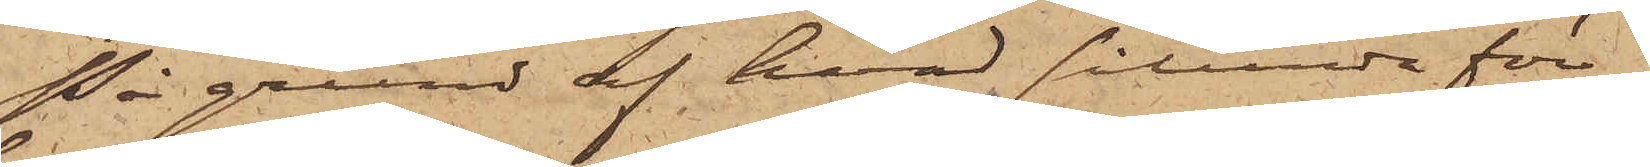På grund af hvad sålunda för¬
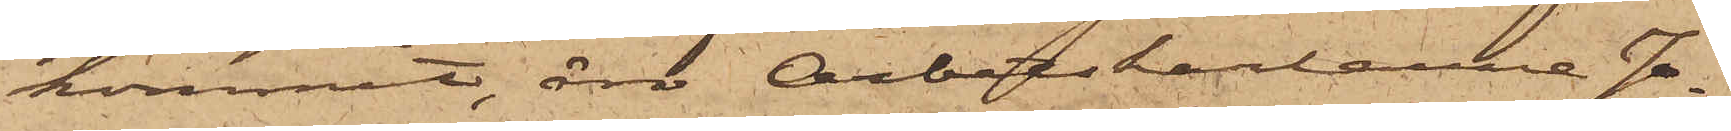kommit, äro Arbetskarlarna Jo¬
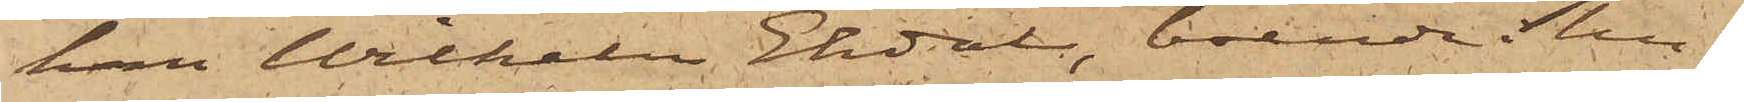han Wilhelm Ekdal, boende i hu¬
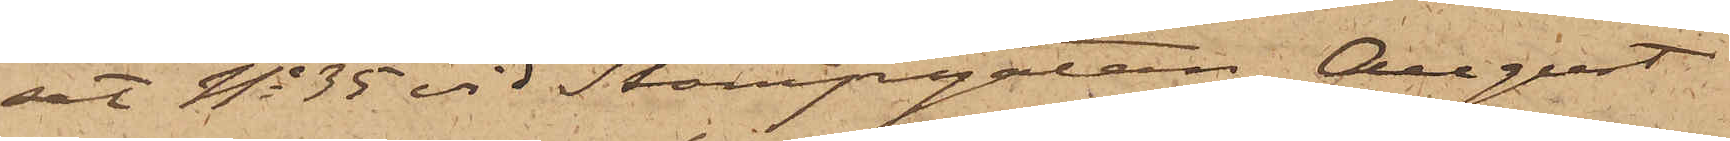set No 35 vid Stampgatan, August
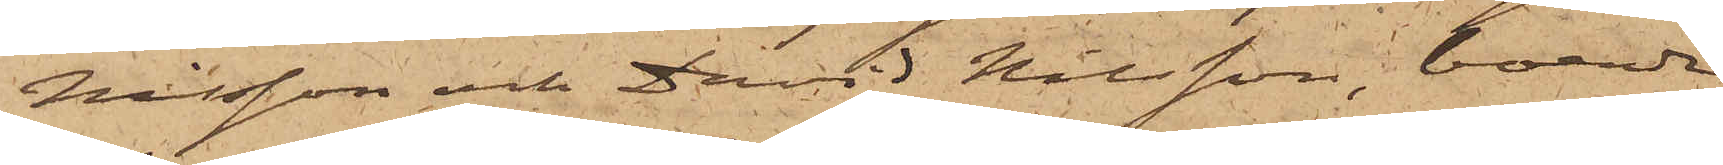Nilsson och David Nilsson, boende
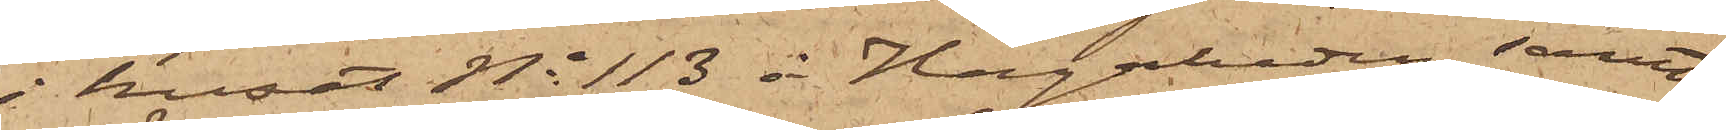i huset No 113 å Hagaheden samt
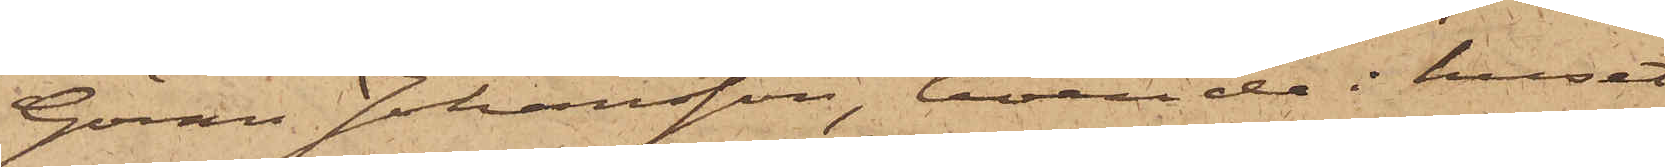Göran Johansson, boende i huset
